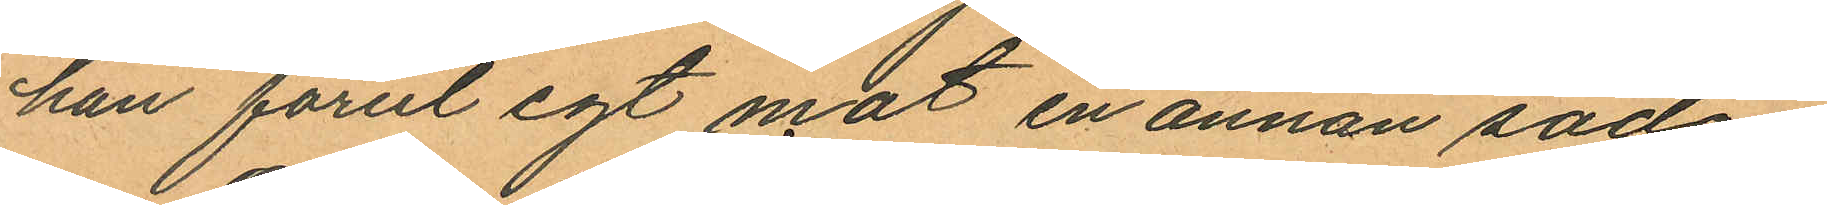han förut egt mot en annan sådan.
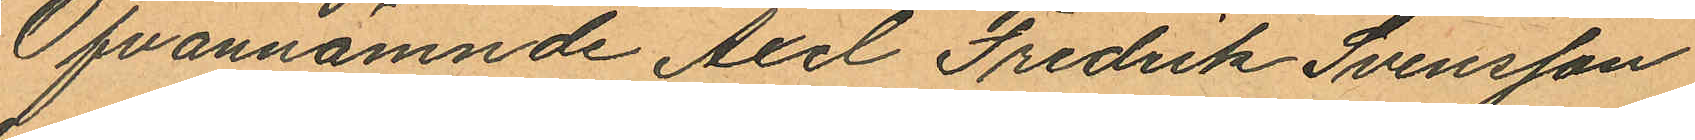Ofvannämnde Axel Fredrik Svensson
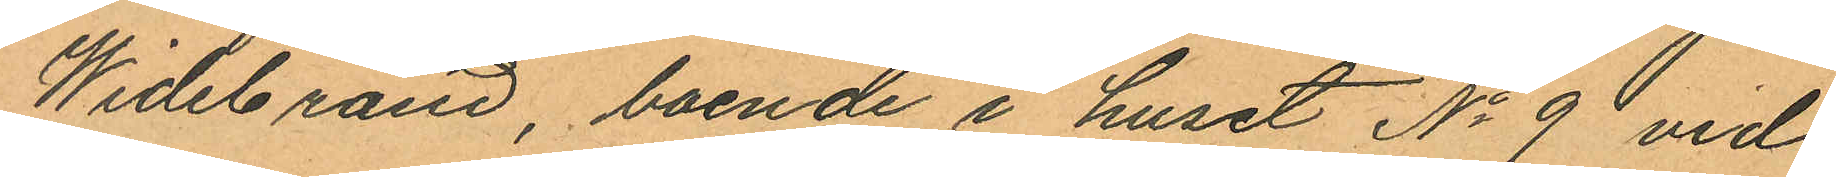Widebrand, boende i huset No 9 vid
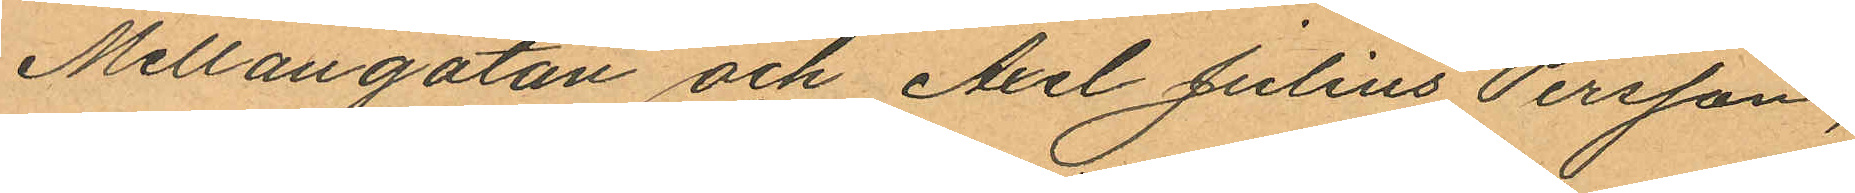Mellangatan och Axel Julius Persson,
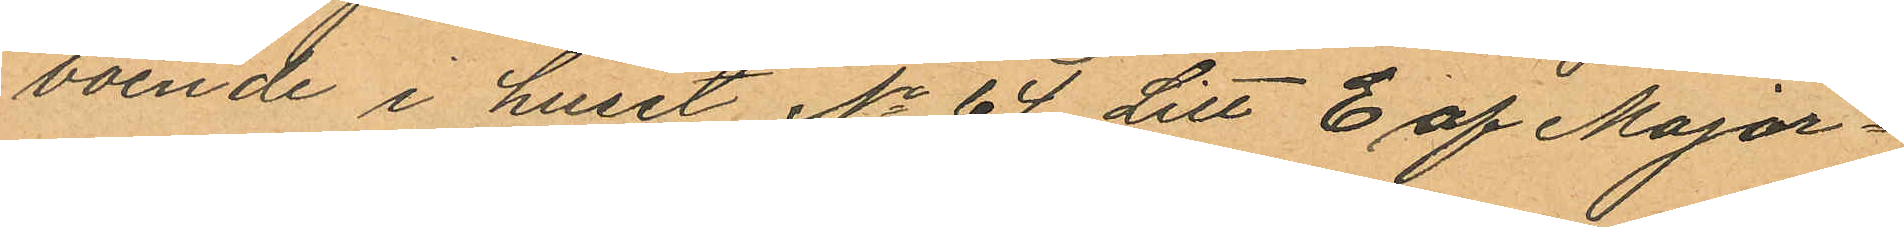boende i huset No 64 Litt E af Major¬
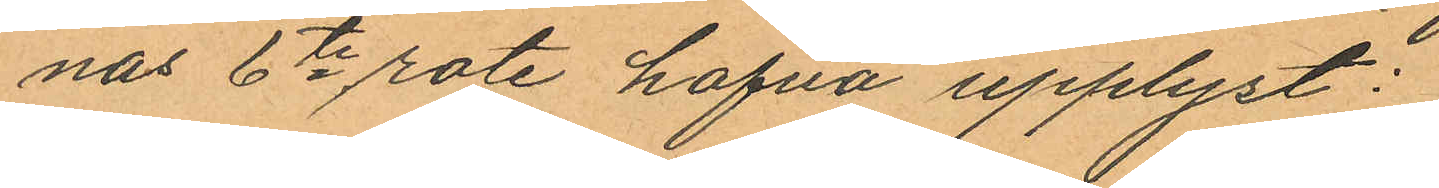nas 6te rote hafva upplyst:
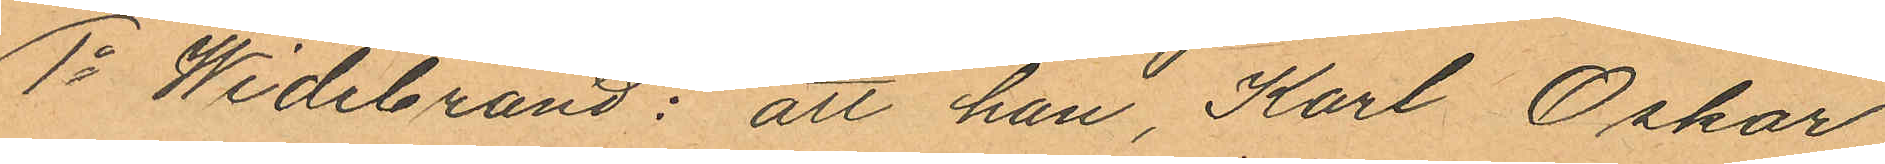1o Widebrand: att han, Karl Oskar
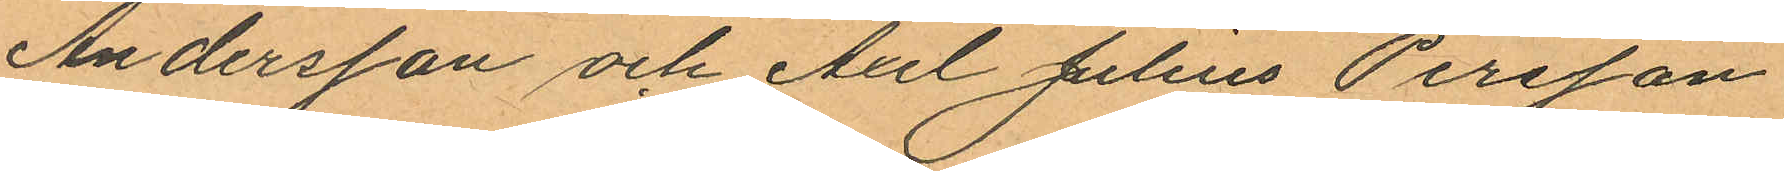Andersson och Axel Julius Persson
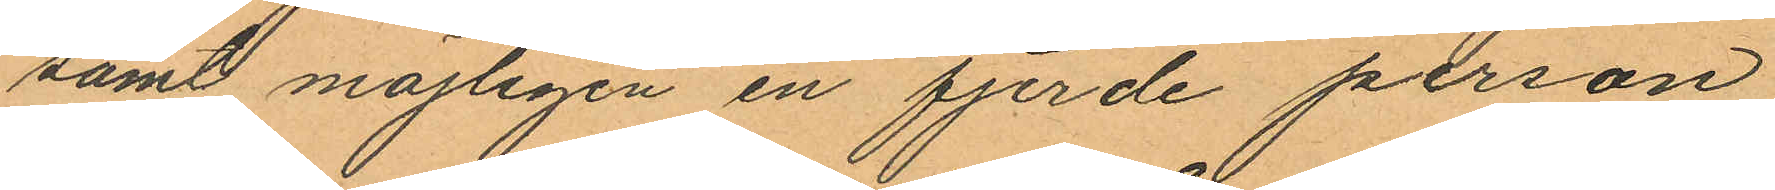samt möjligen en fjerde person
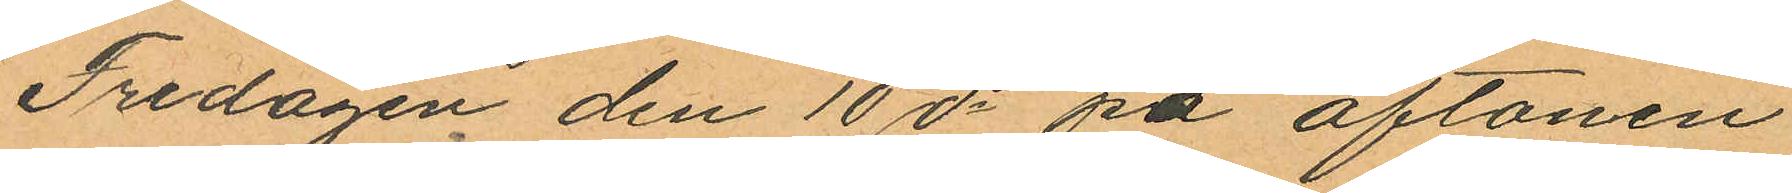Fredagen den 10 ds på aftonen
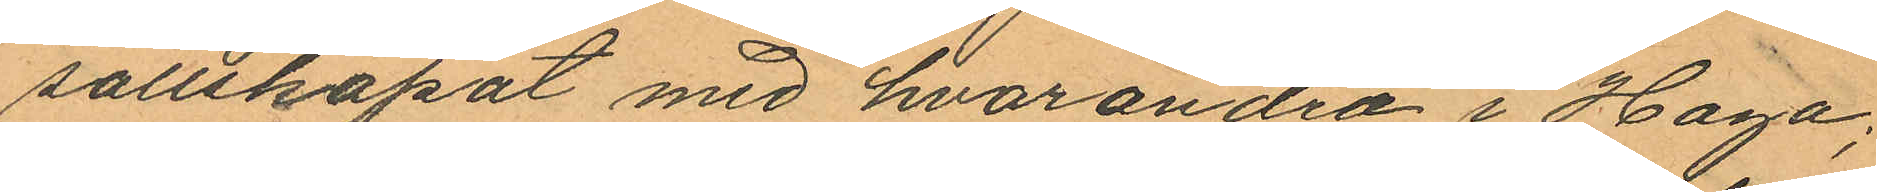sällskapat med hvarandra i Haga;
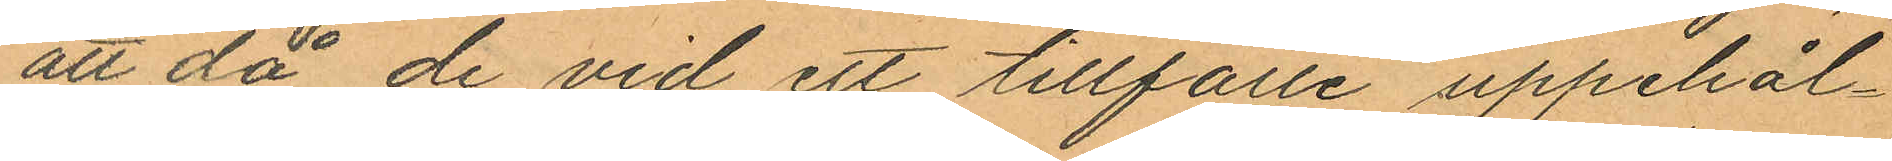att då de vid ett tillfälle uppehål¬
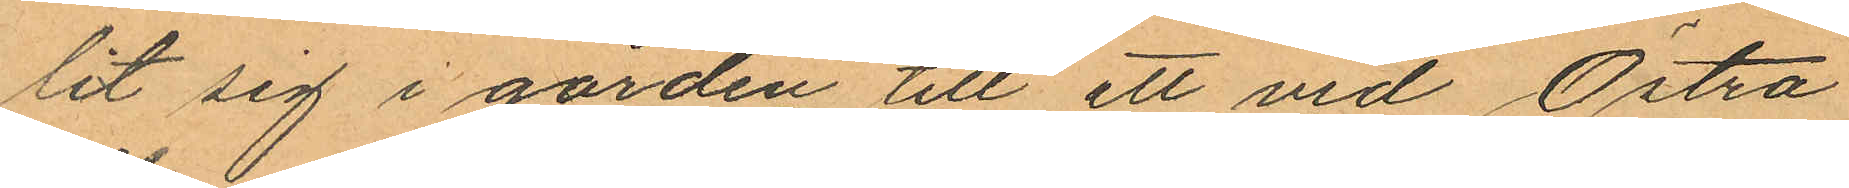lit sig i gården till ett vid Östra
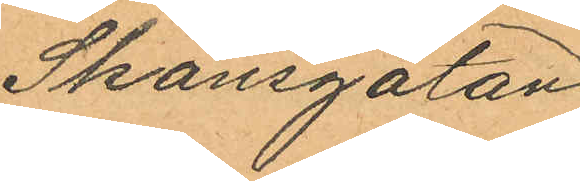Skansgatan
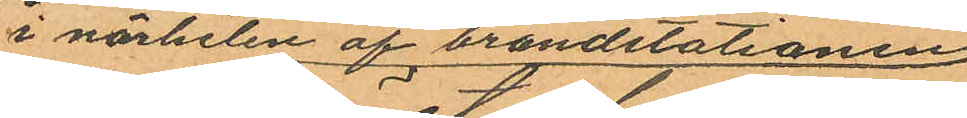i närheten af brandstationen
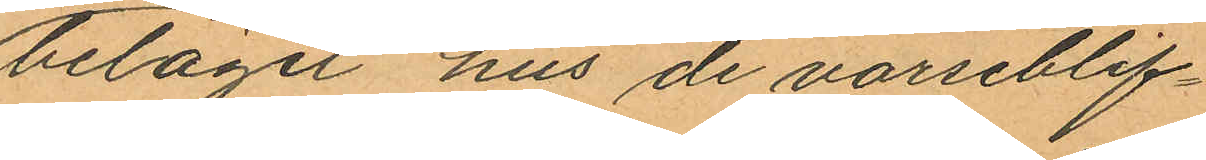beläget hus de varseblif¬
